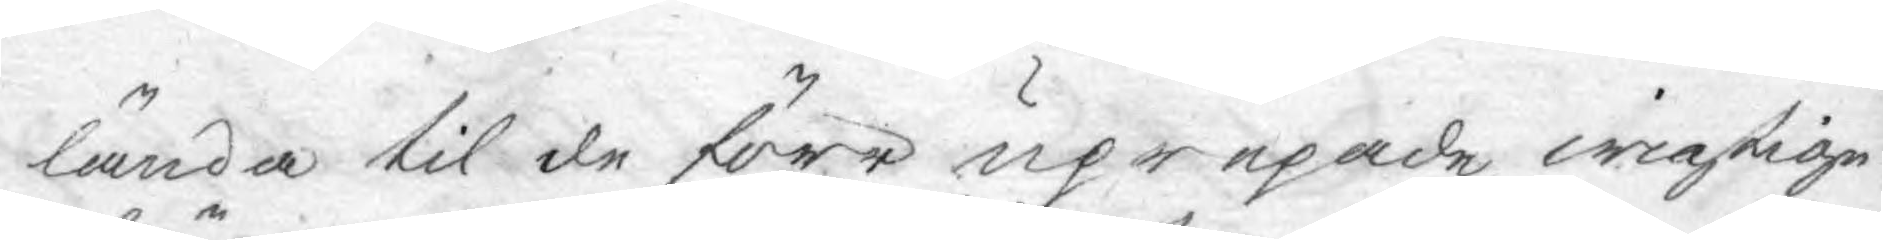lända til de förr uprepade wigtige
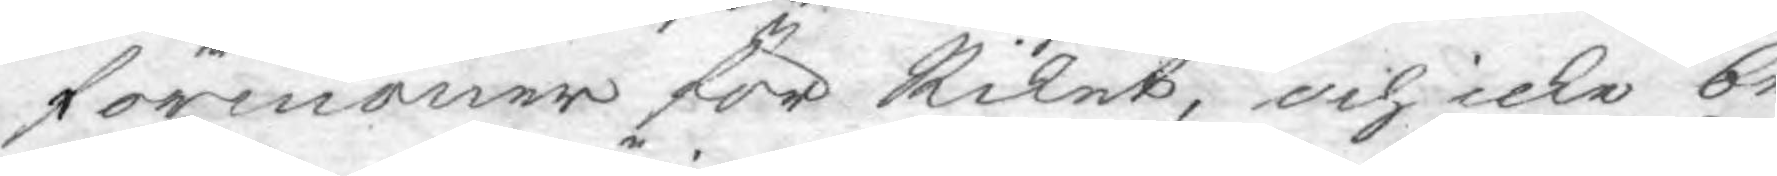förmoner för Riket, och icke be¬
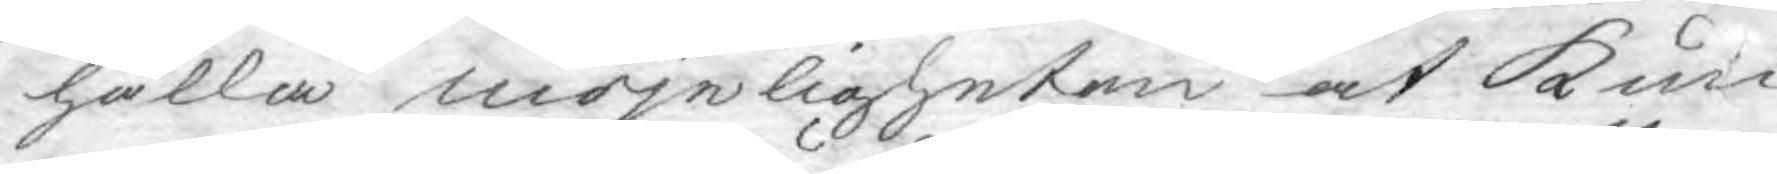hålla möjeligheten at kun¬
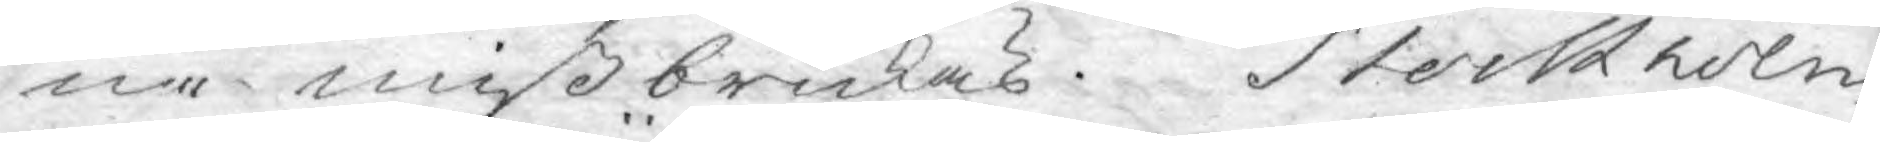ne mißbrukas. Stockholm
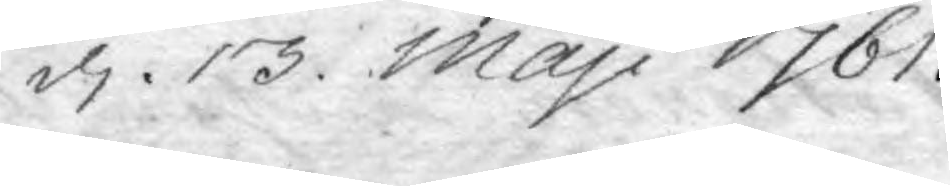d. 13 Maji 1761.
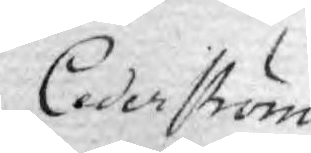Cederström
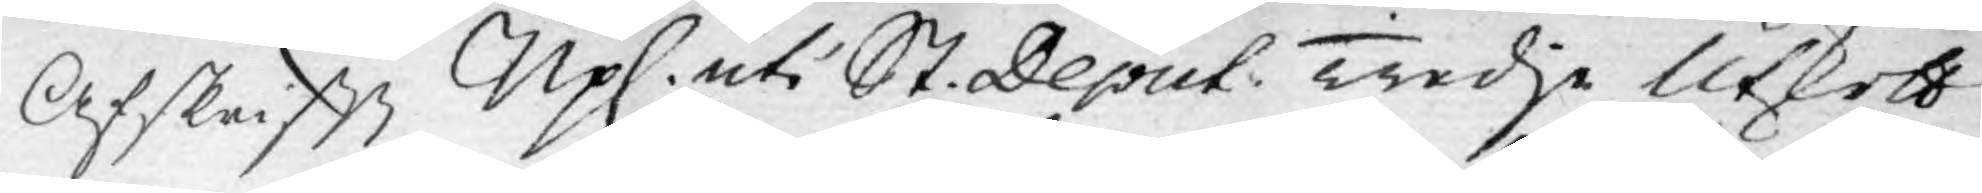Afskrift Upl. uti St. Deput. Tredje Utskott
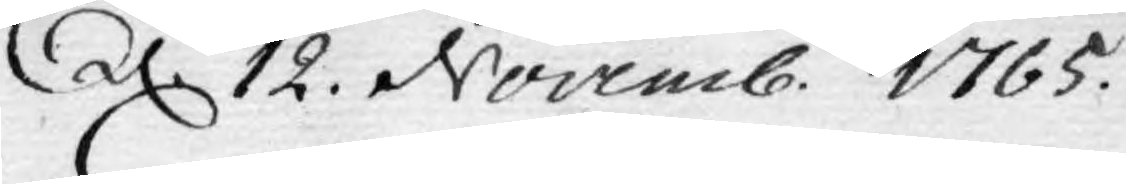d. 12. Novemb. 1765.
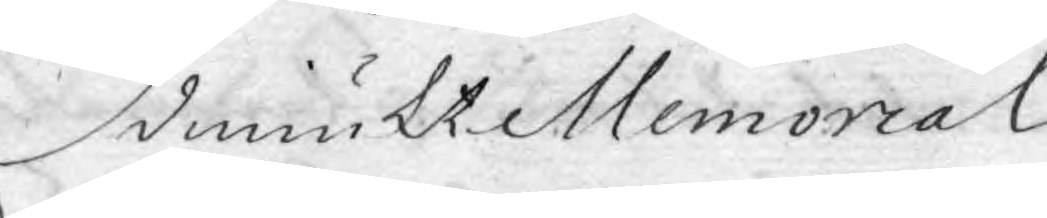Ödmiukt Memorial
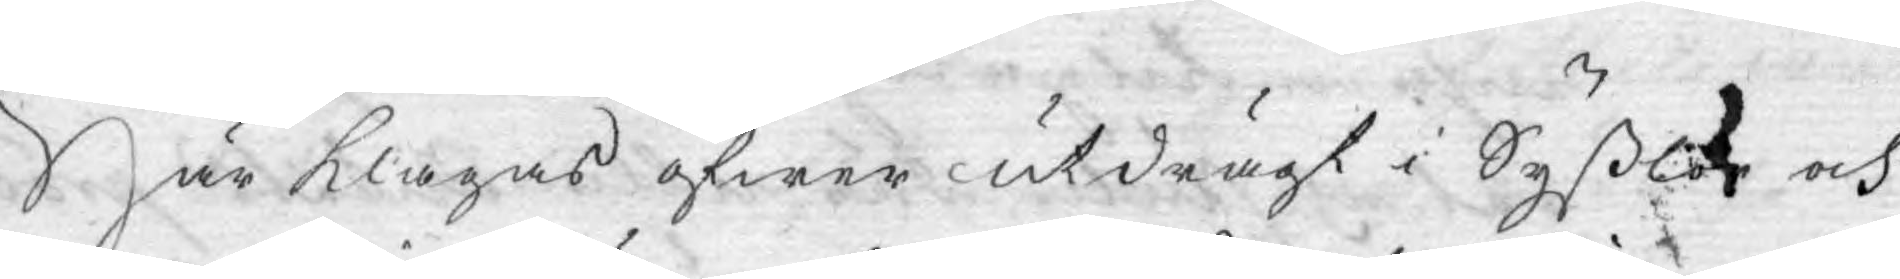Här klagas öfwer utdrägt i Syßlor och
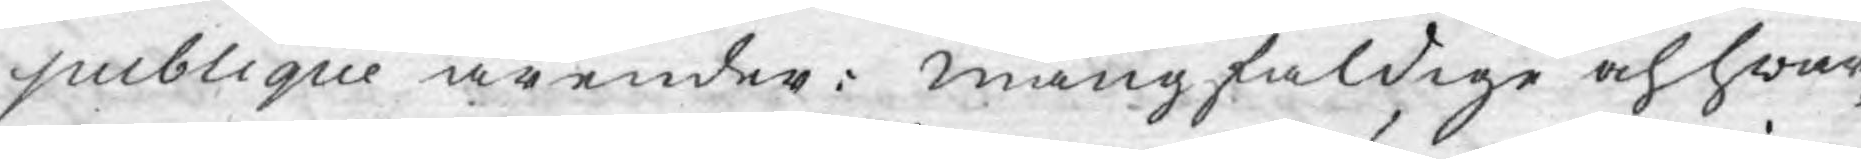publique ärender: mångfaldige och hwar¬
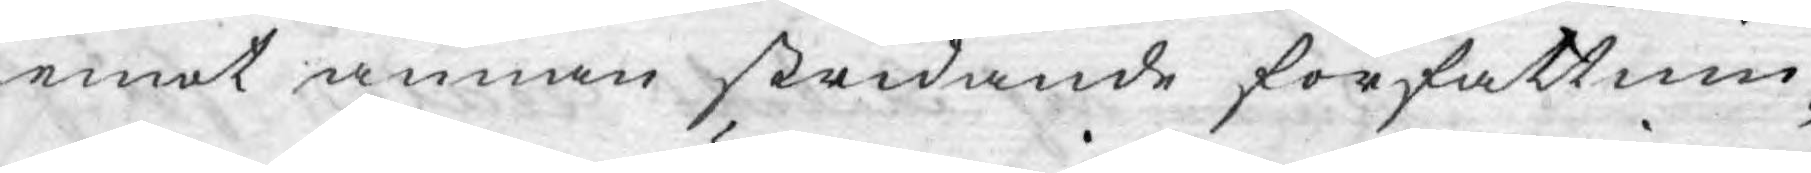emot annan stridande författnin¬
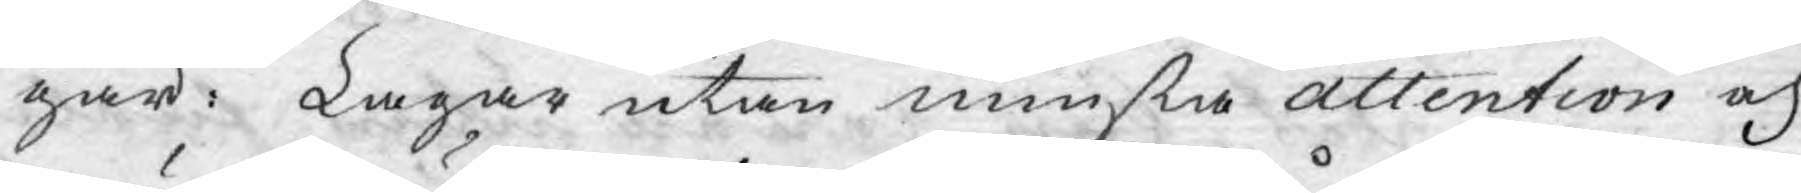gar: Lagar utan minsta attention och
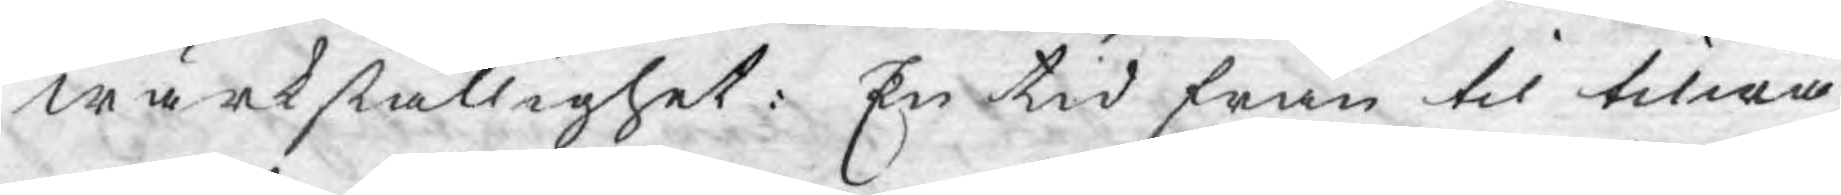wärkställighet: En tid från til tiläm¬
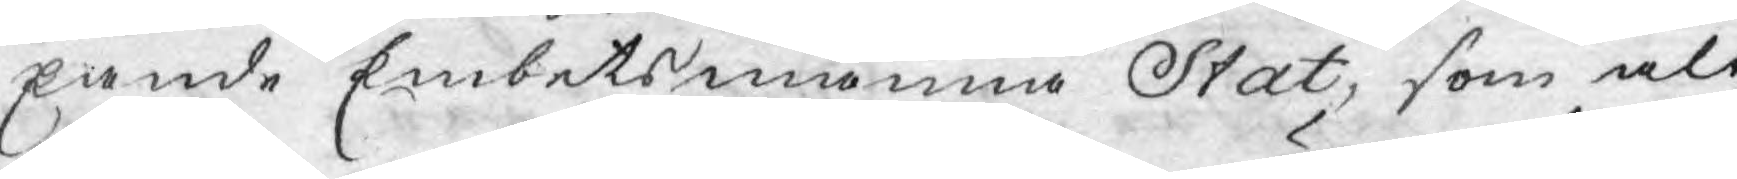pande Embetsmanna Stat, som alt
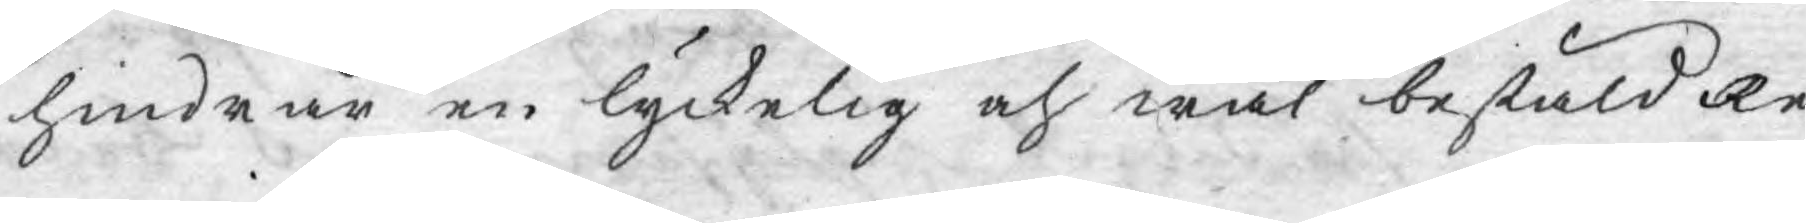hindrar en lyckelig och wäl bestäld Re¬
